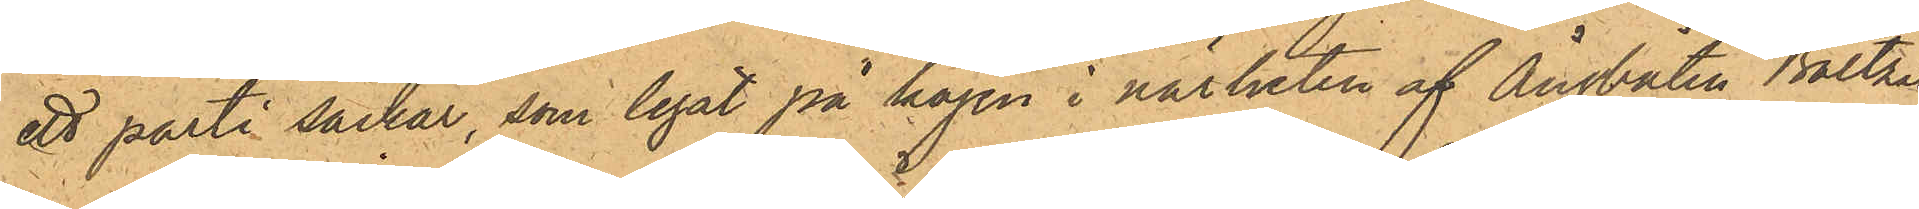ett parti säckar, som legat på kajen i närheten af Ångbåten Baltzar
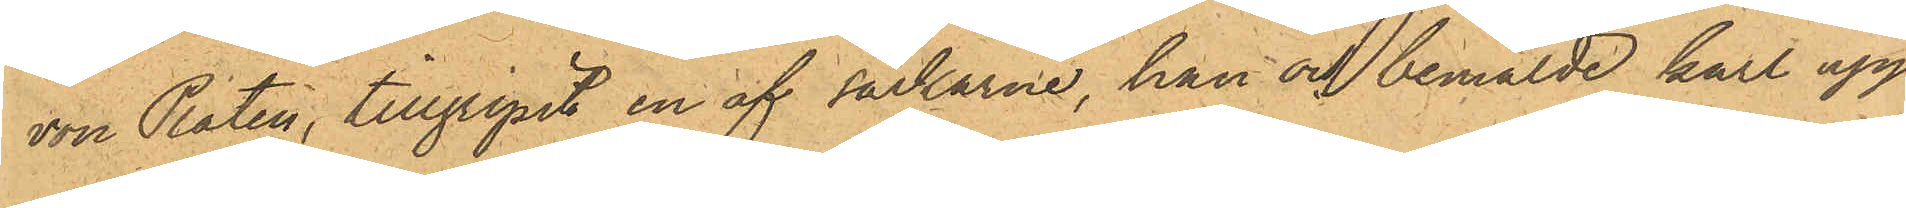von Platen, tillgripit en af säckarne, han och bemälde karl upp¬
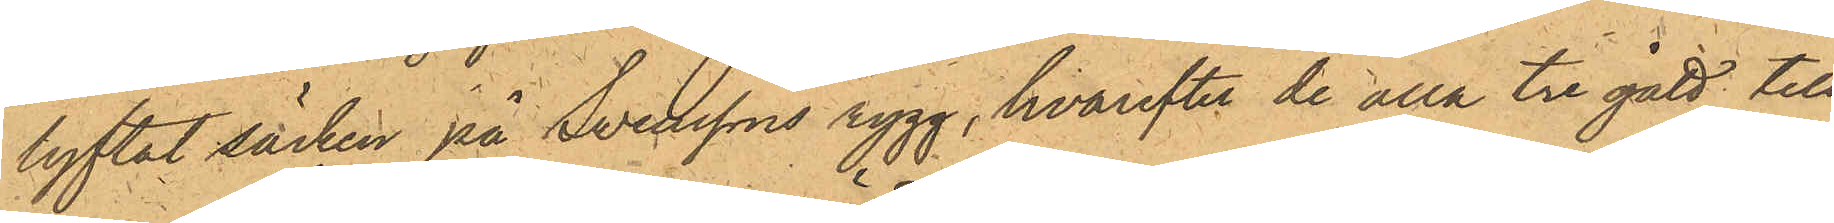lyftat säcken på Svenssons rygg, hvarefter de alla tre gått till
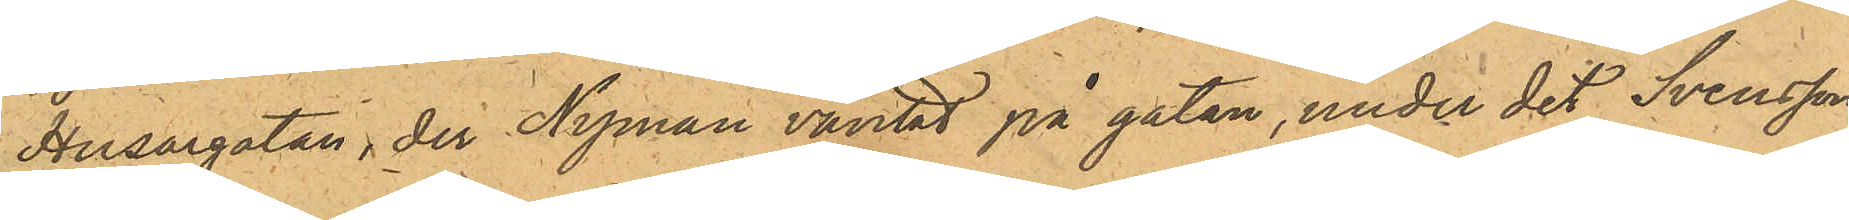Husargatan, der Nyman väntat på gatan, under det Svensson
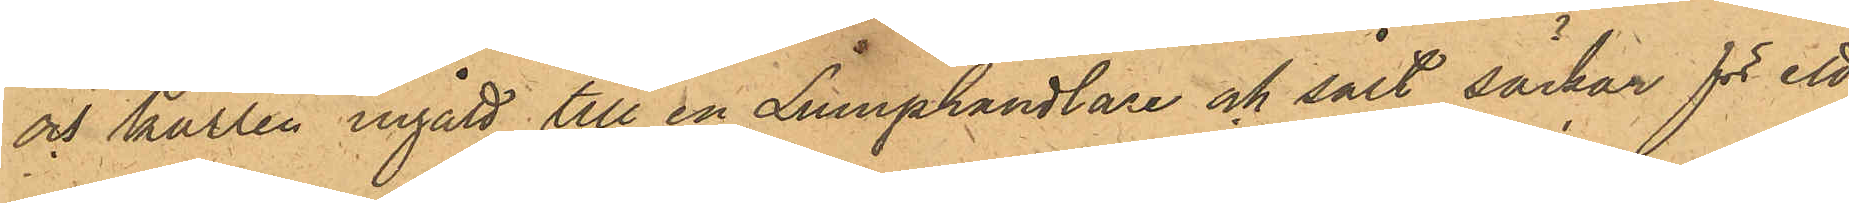och karlen ingått till en Lumphandlare och sålt säckar för ett
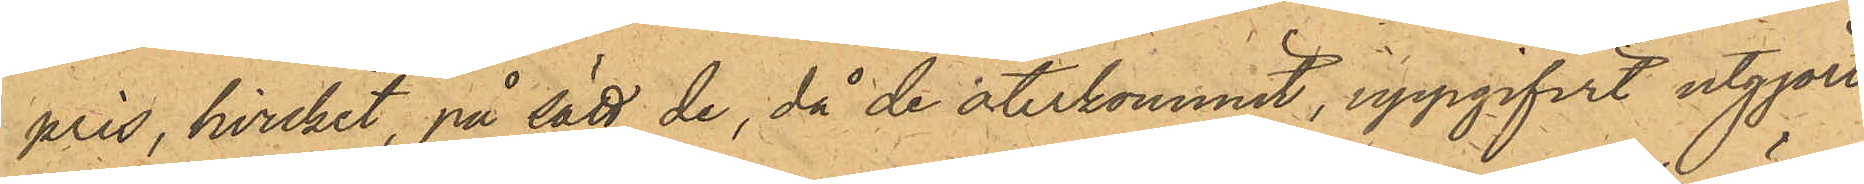pris, hvilket, på sätt de, då de återkommit, uppgifvit utgjort
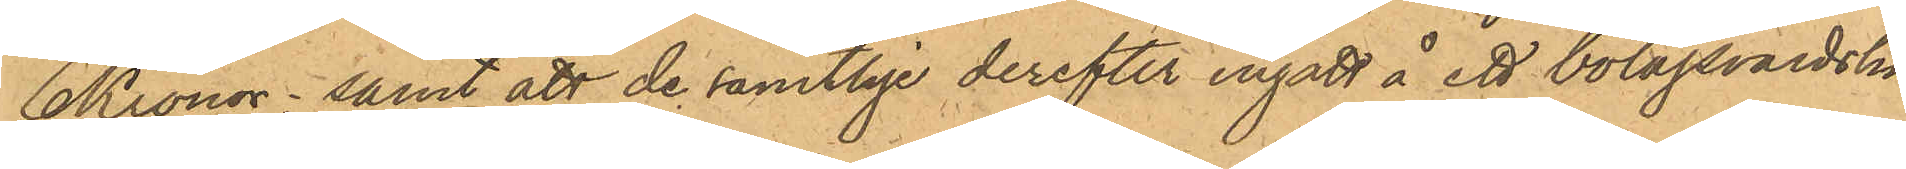6 Kronor; samt att de samtlige derefter ingått å ett bolagsvärdshus
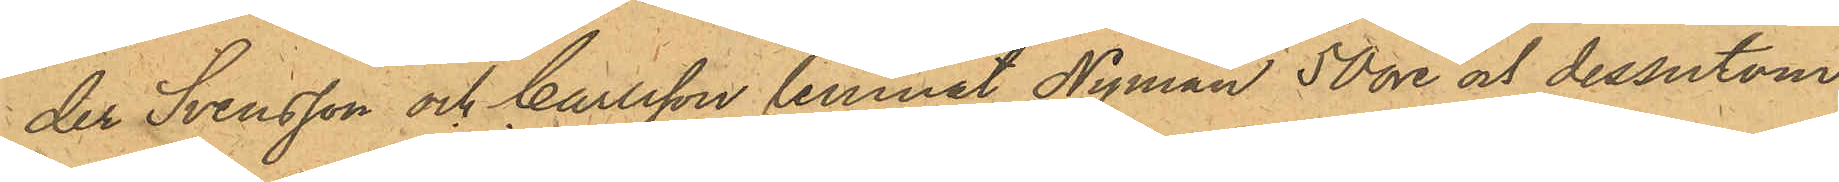der Svensson och Carlsson lemnat Nyman 50 öre och dessutom,
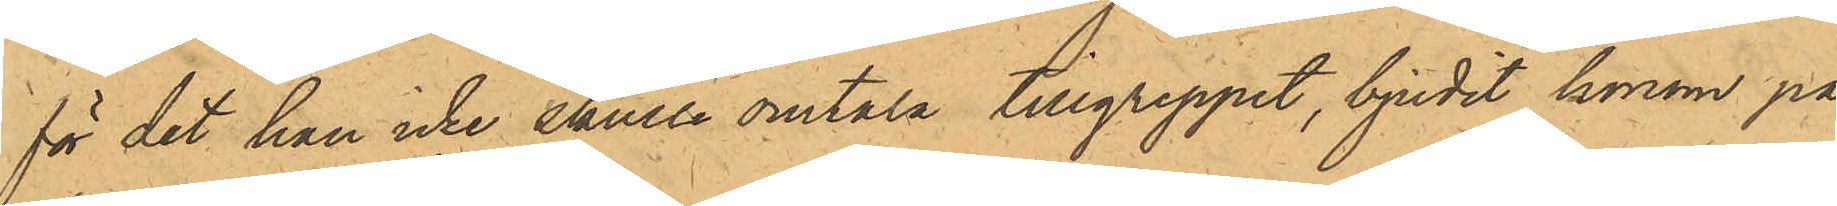för det han icke skulle omtala tillgreppet, bjudit honom på
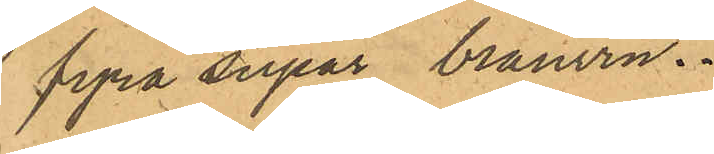fyra supar bränvin.
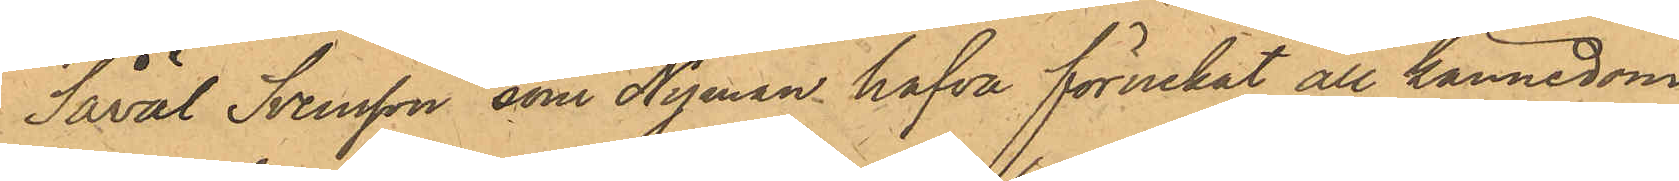Såväl Svensson, som Nyman hafva förnekat all kännedom
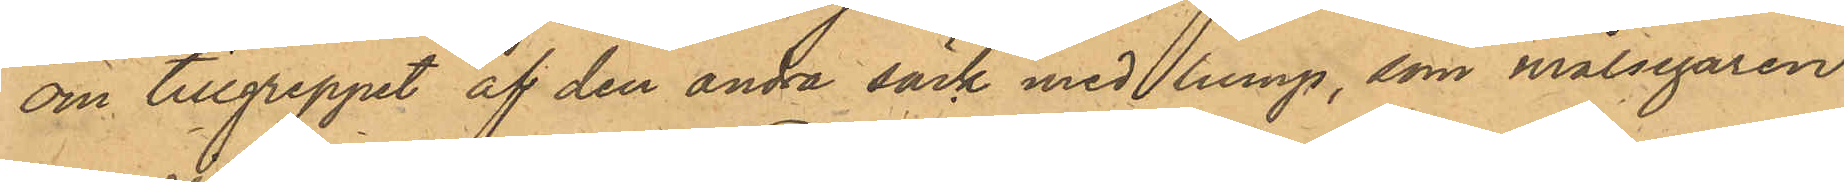om tillgreppet af den andra säck med lump, som målsegaren
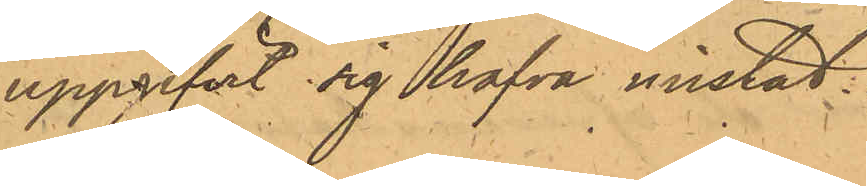uppgifvit sig hafva mistat.
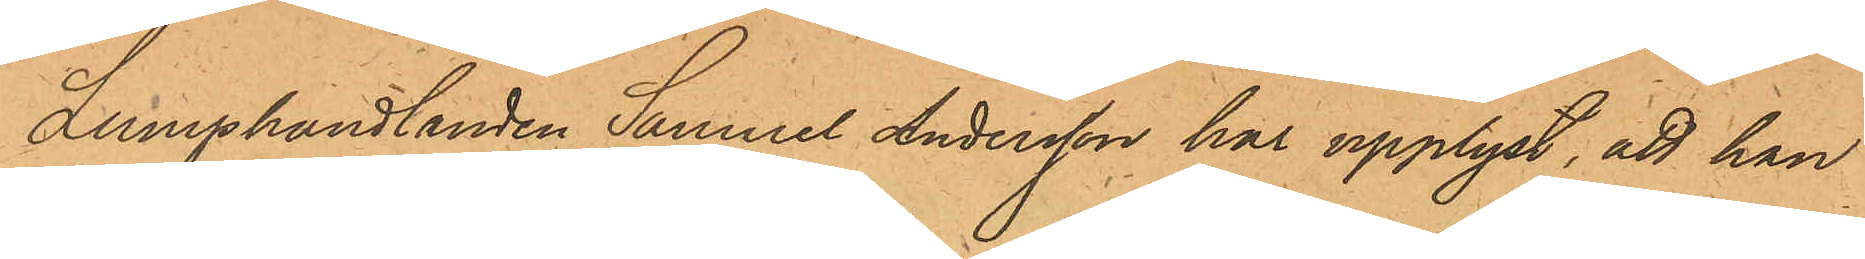Lumphandlanden Samuel Andersson har upplyst, att han
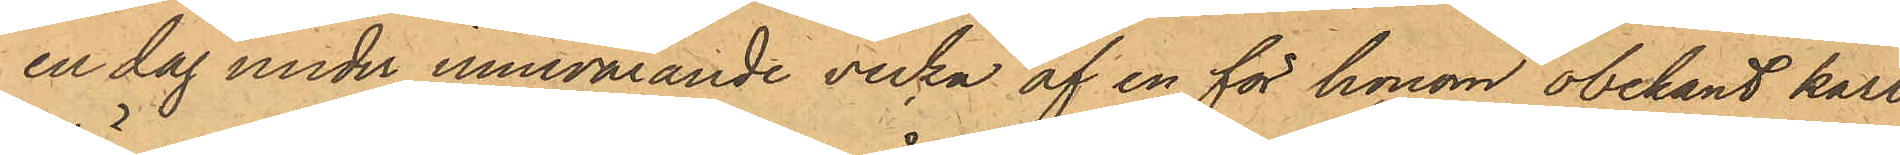en dag under innevarande vecka af en för honom obekant karl
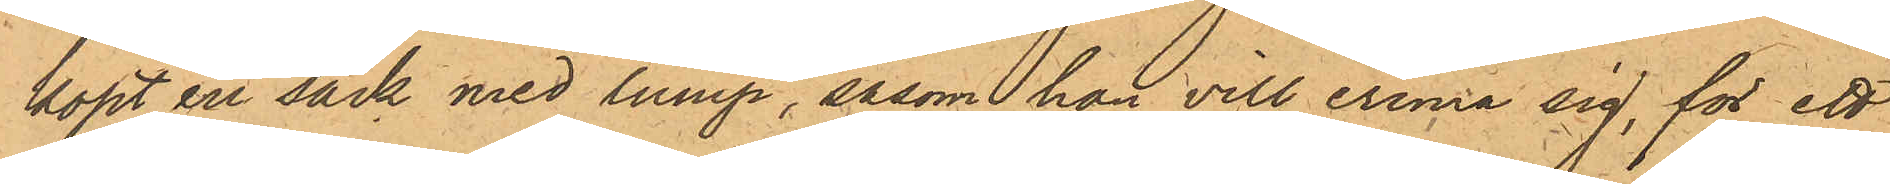köpt en säck med lump, såsom han vill erinra sig, för ett
